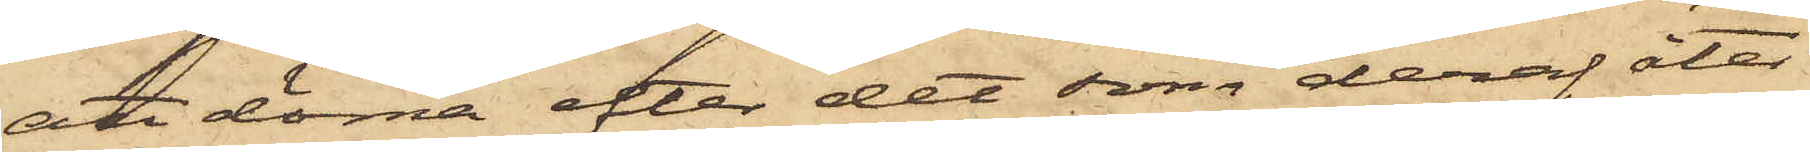att döma efter det som deraf åter¬
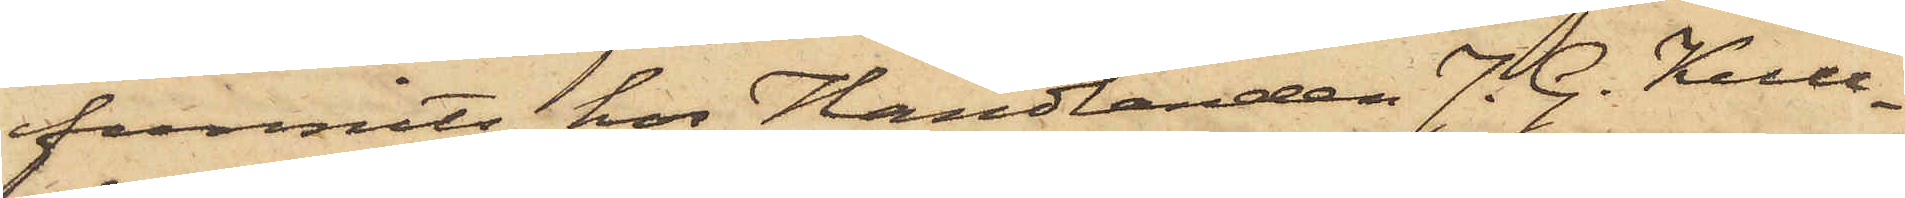funnits hos Handlanden J. G. Kull¬
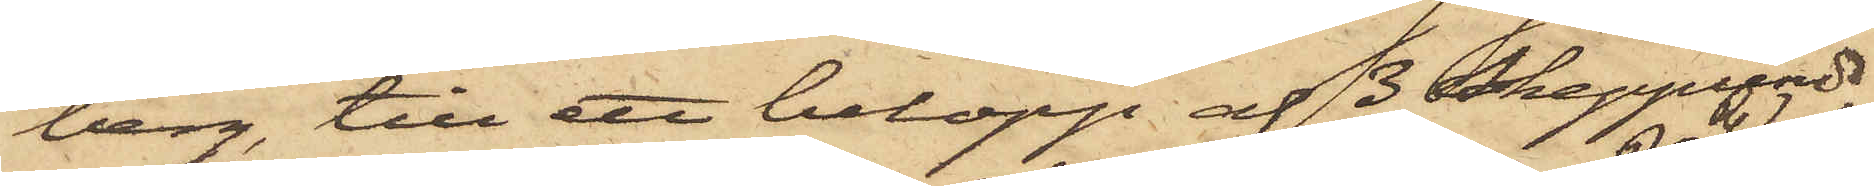berg, till ett belopp af 3 Skeppund,
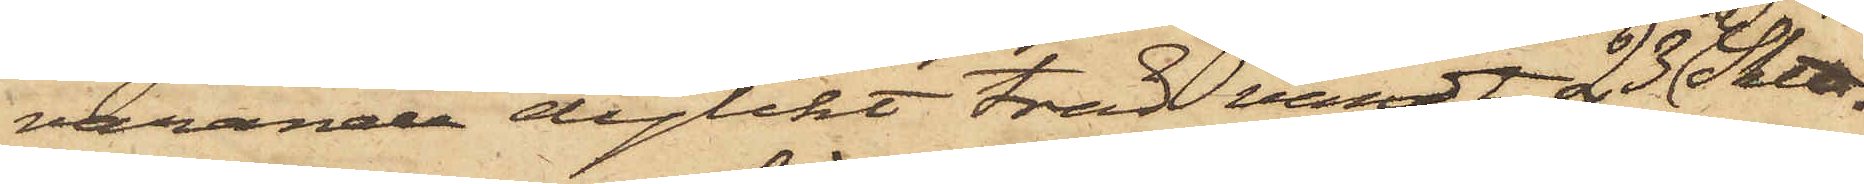varande dylikt träd värdt 23 R. Sk℔.
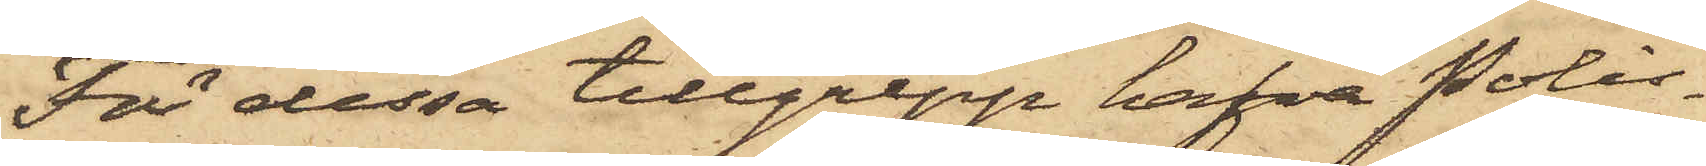För dessa tillgrepp hafva Polis¬
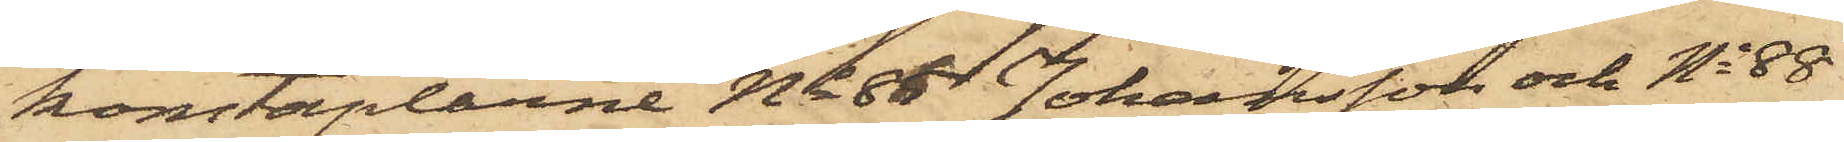konstaplarne No 86 Johansson och No 88
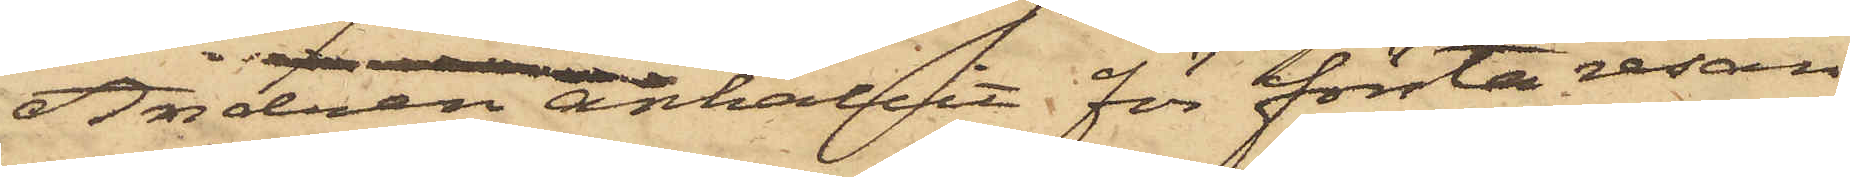Andrén anhållit för första resan
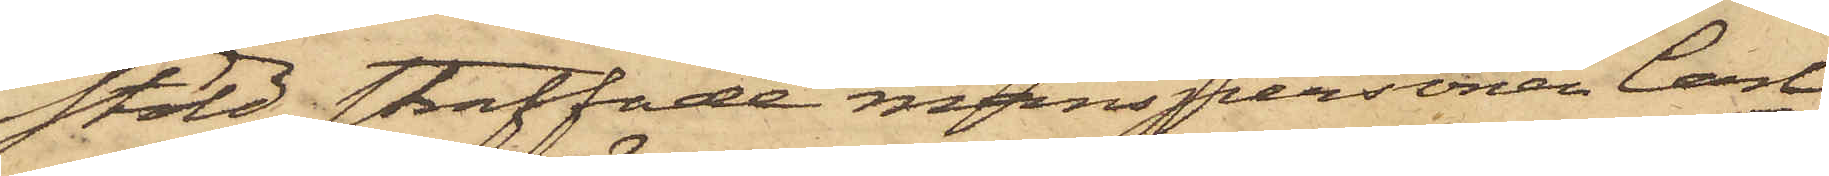stöld straffade manspersonen Carl
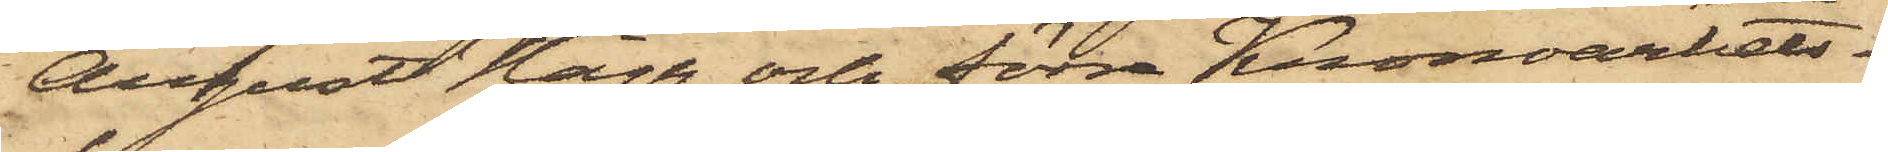August Hägg och förra Kronoarbets¬
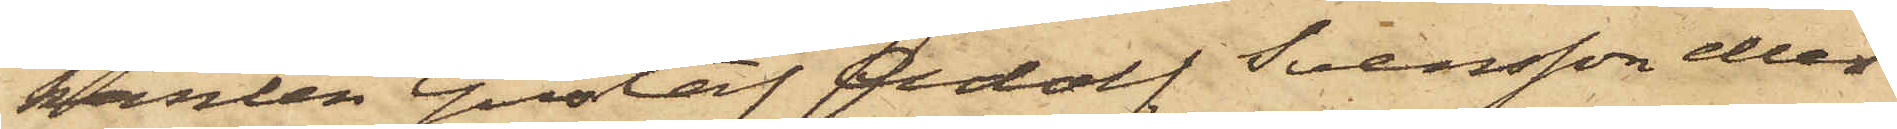karlen Gustaf Adolf Svensson eller
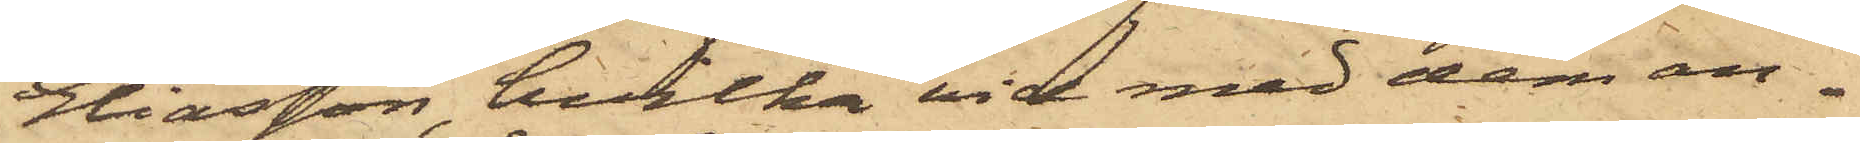Eliasson, hvilka vid med dem an¬
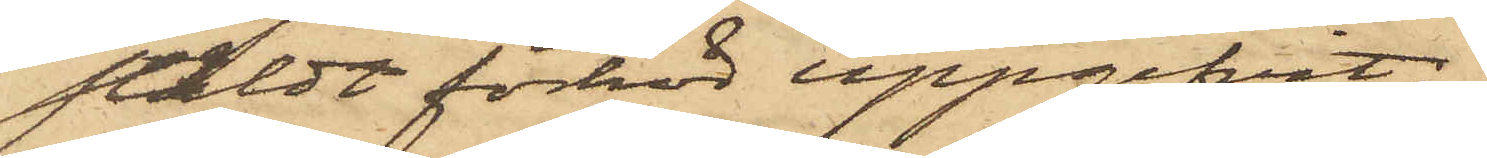stäldt förhör uppgifvit:
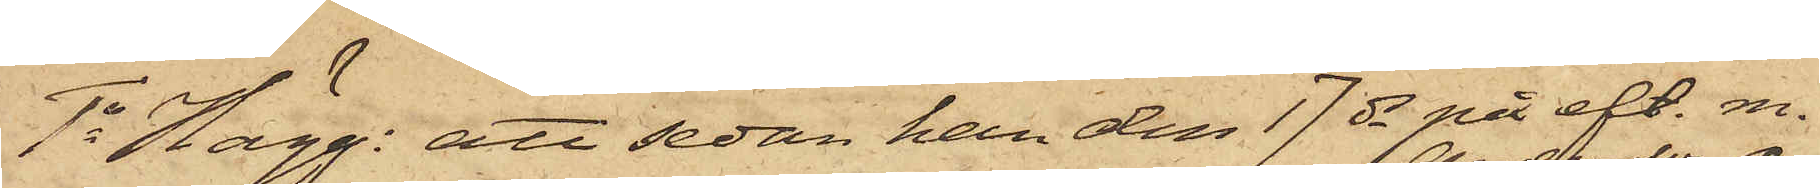1o Hägg: att sedan han den 17 ds på eft. m.
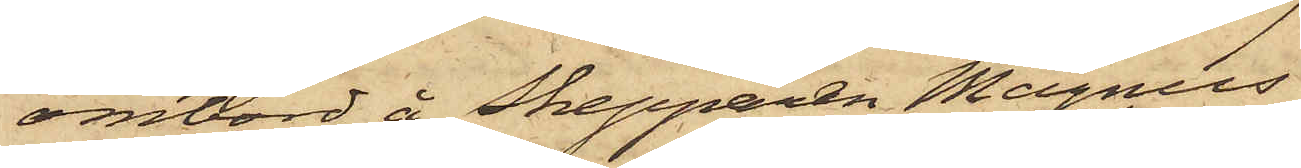ombord å Skepparen Magnus
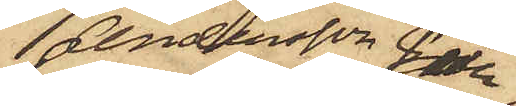Andersson från
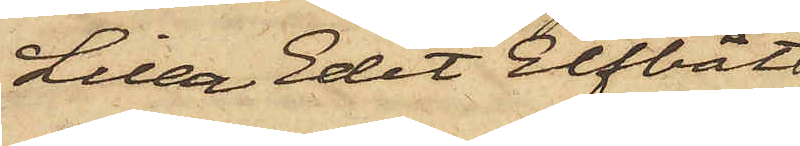Lilla Edet Elfbåt
